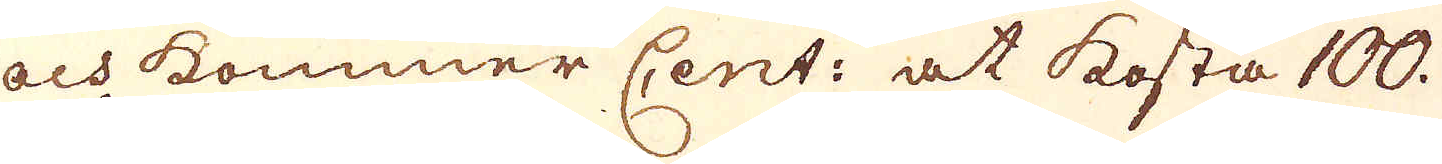och kommer Cent: at kosta 100.
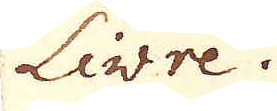Livre.
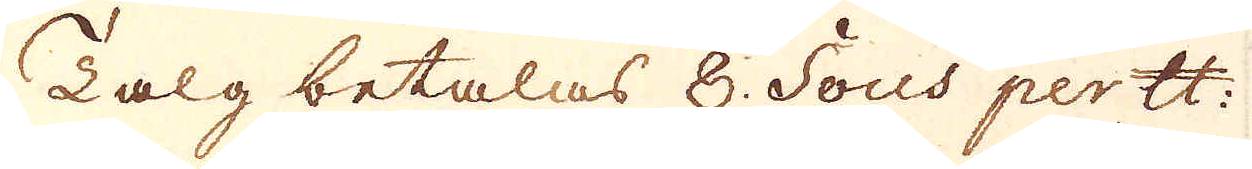Talg betalas 8. Sous per skålpund
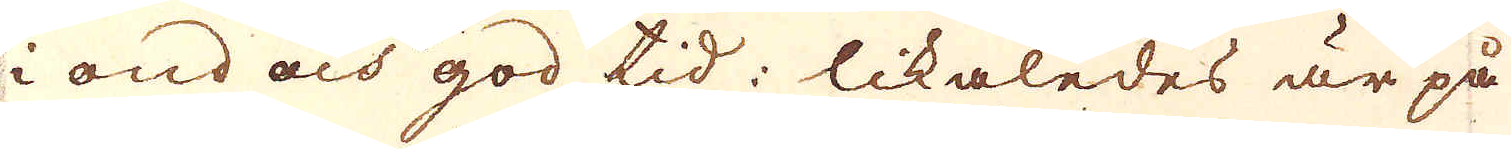i ond och god tid; likaledes är på
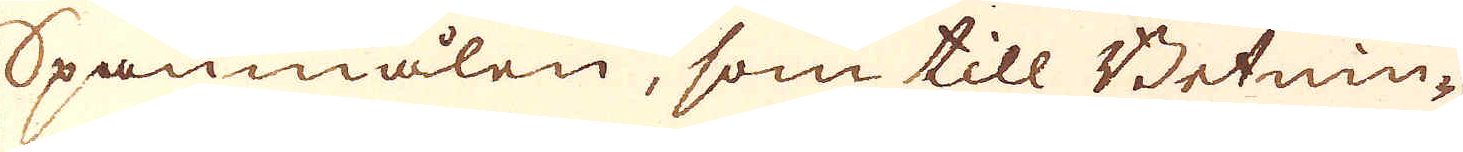Spanmålen, som till Betnin-
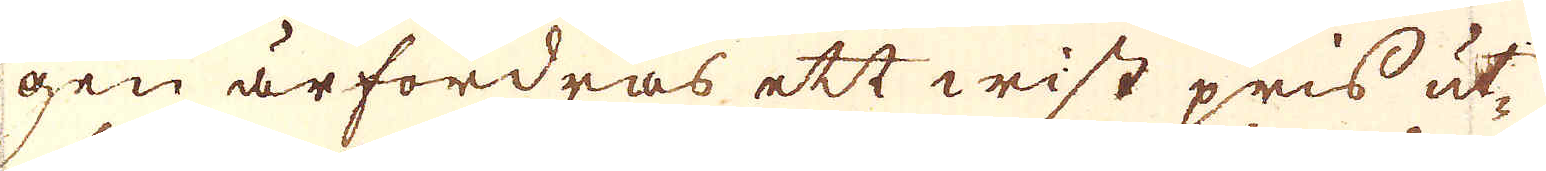gen ärfordras ett wist pris ut-
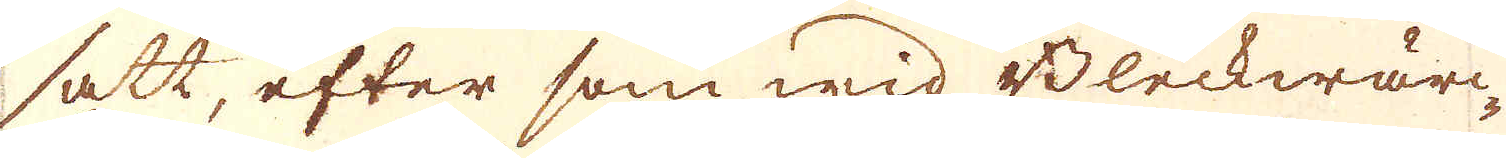satt, efter som wid Bleckwär-
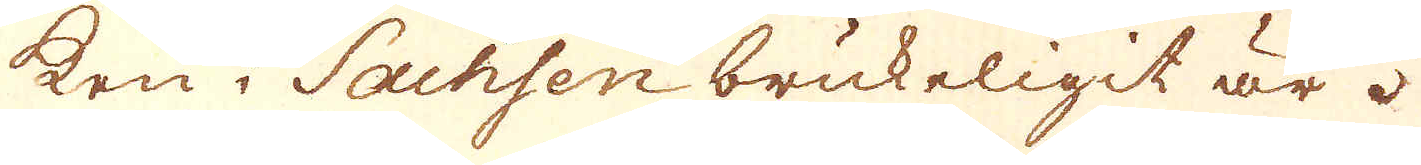ken i Sachsen brukeligit är.
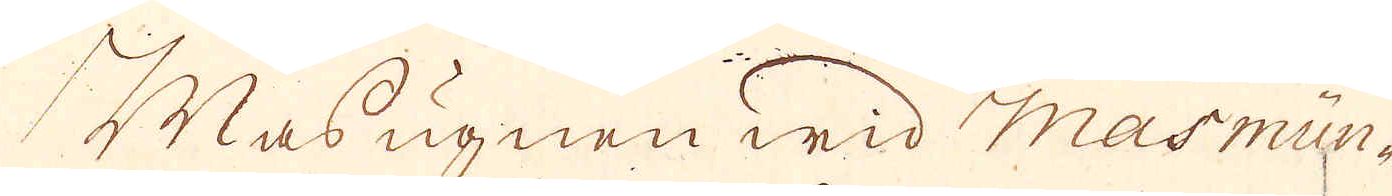Masugnen wid Masmün-
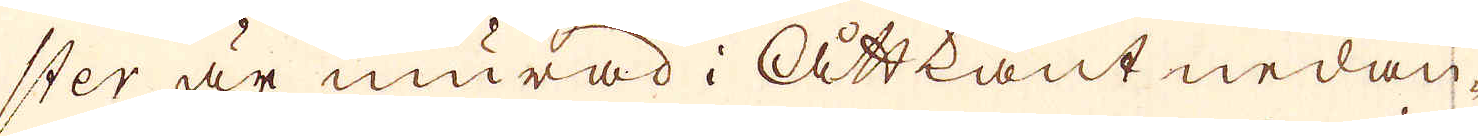ster är murad i Åttkant nedan,
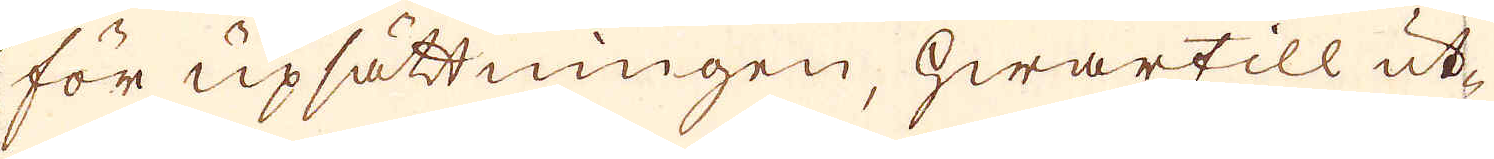för upsättningen, hwartill ut-
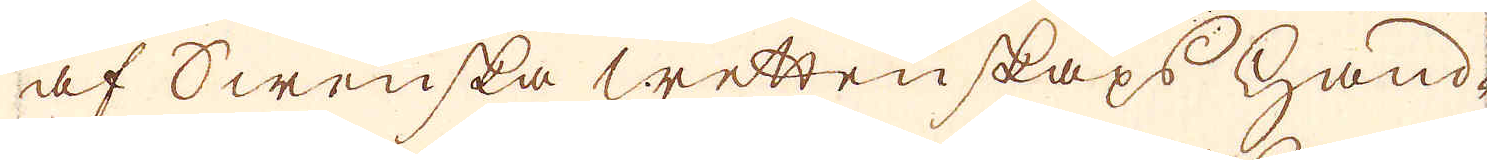af Swenska wettenskaps hand-
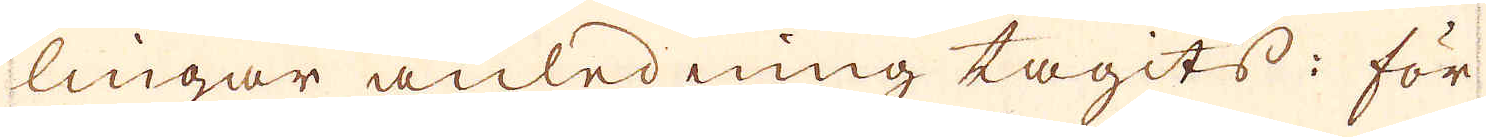lingar anledning tagits; för-
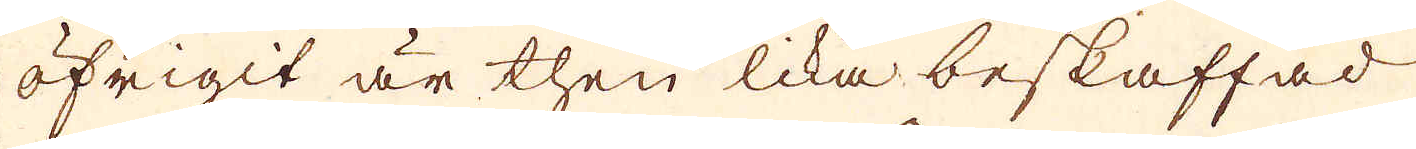öfrigit är then lika beskaffad
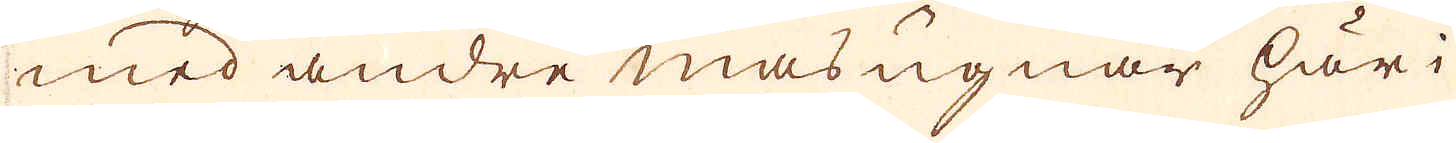med andre mas ugnar här i
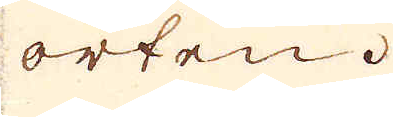orten.
